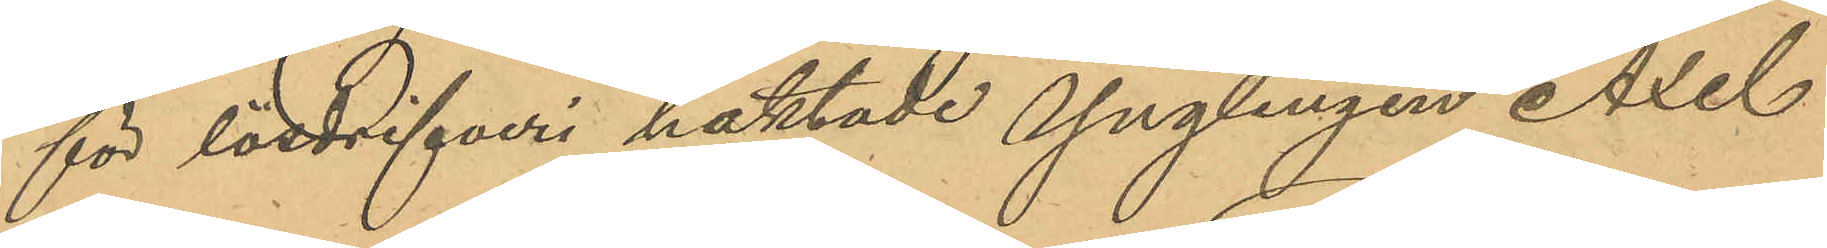för lösdrifveri häktade ynglingen Axel
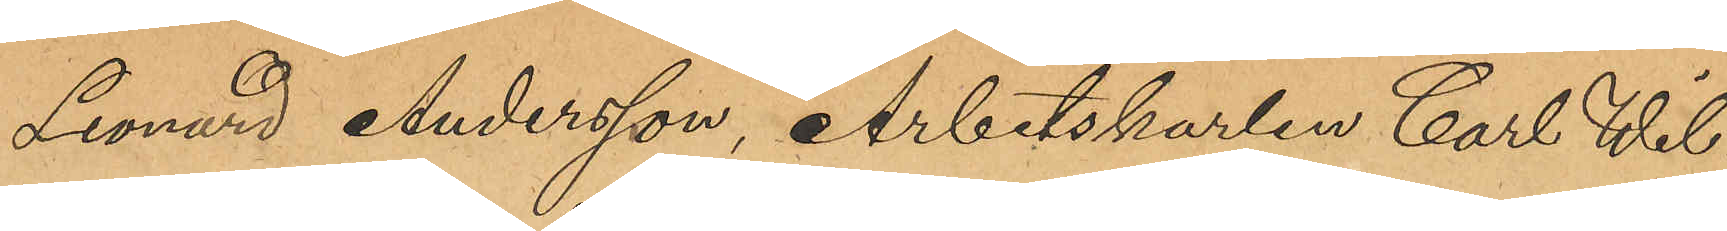Leonard Andersson, Arbetskarlen Carl Wil¬
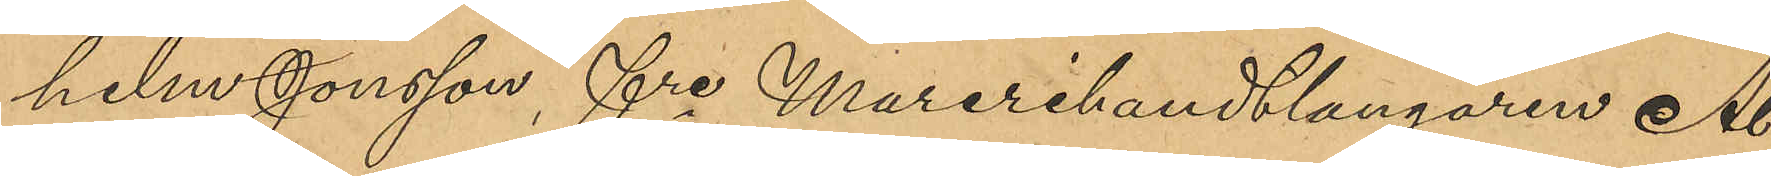helm Jonsson, fre Murerihantlangaren Al¬
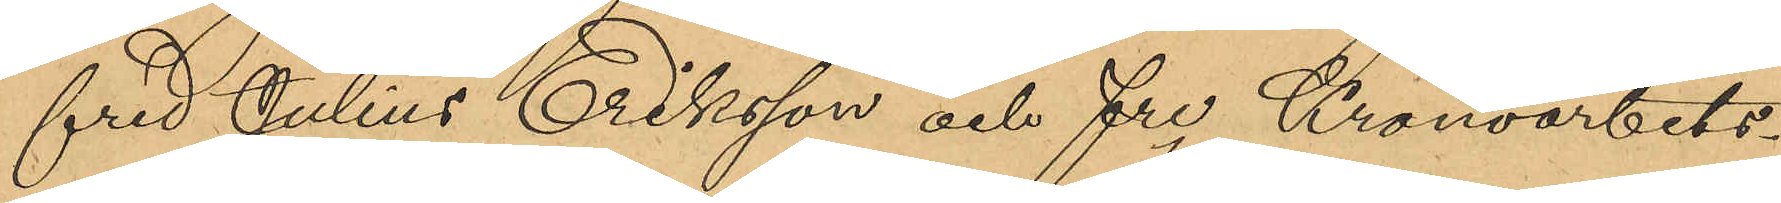fred Julius Eriksson och fre Kronoarbets¬
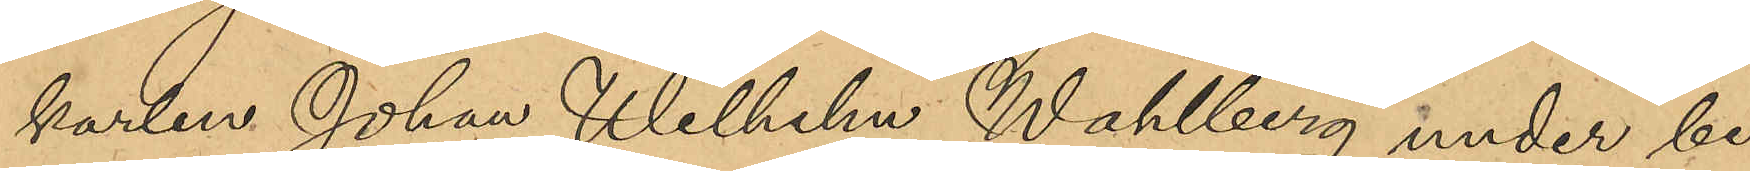karlen Johan Wilhelm Wahlberg under be¬
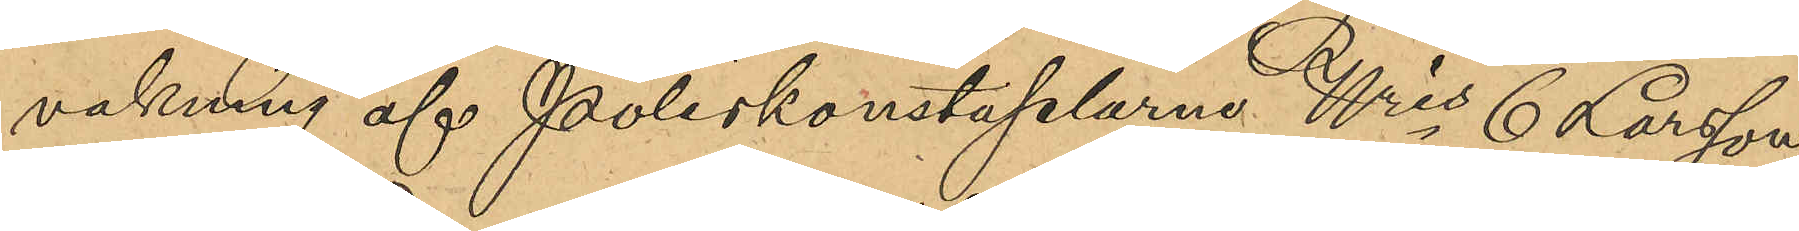vakning af Poliskonstaplarna Nris 6 Larsson,
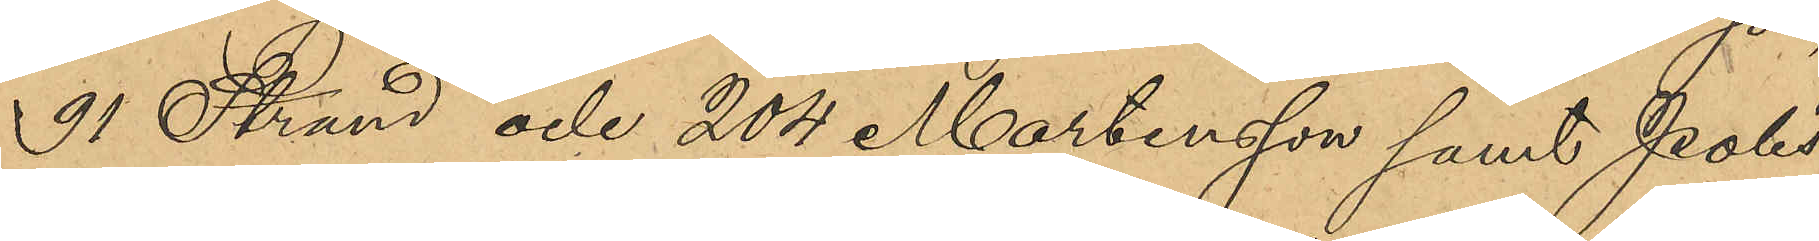91 Strand och 204 Martensson samt Polis¬
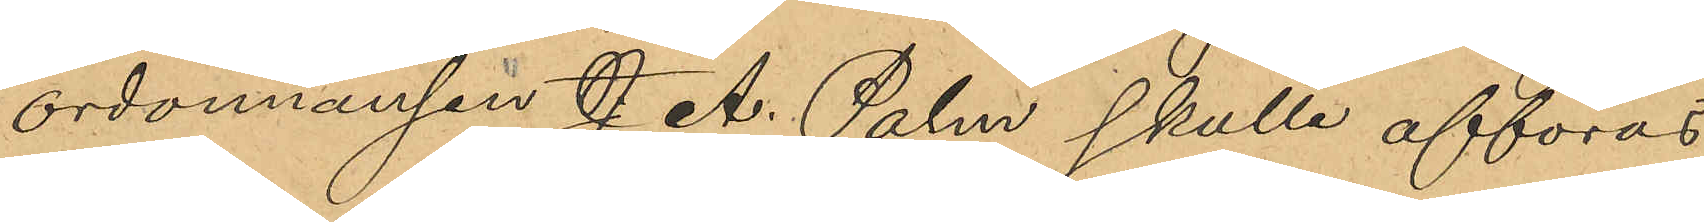ordonnansen J. A. Palm skulle afföras
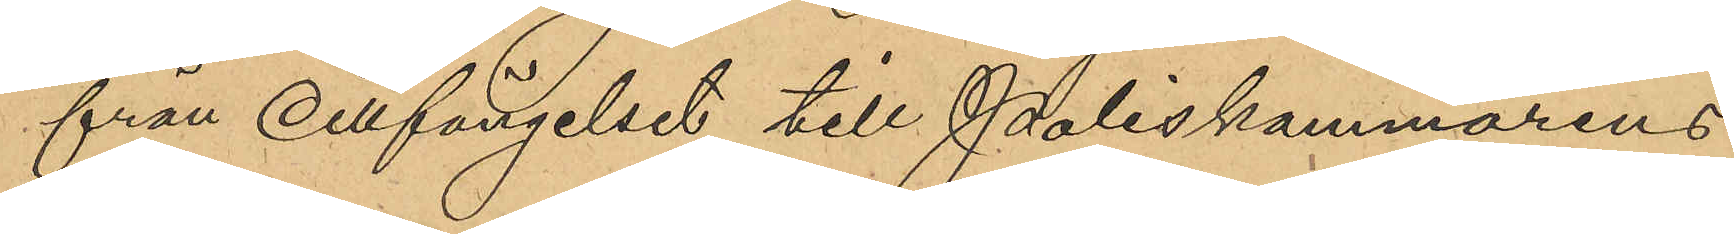från Cellfängelset till Poliskammarens
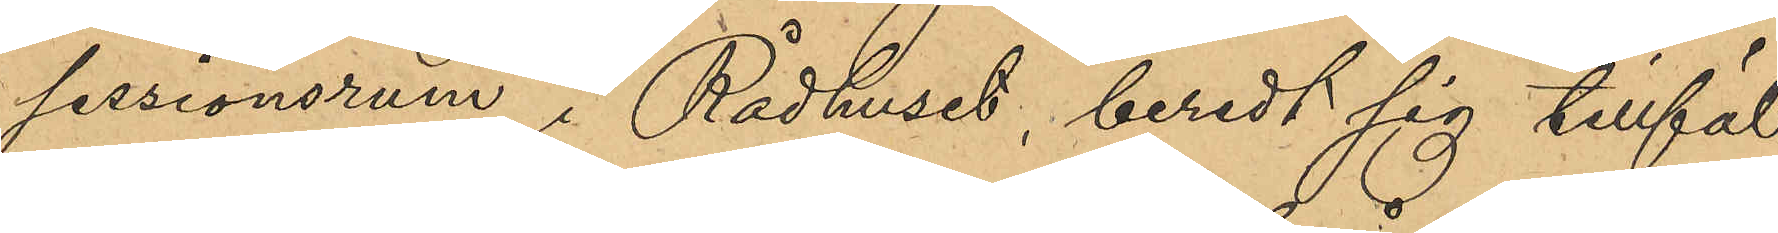sessionsrum i Rådhuset, beredt sig tillfäl¬
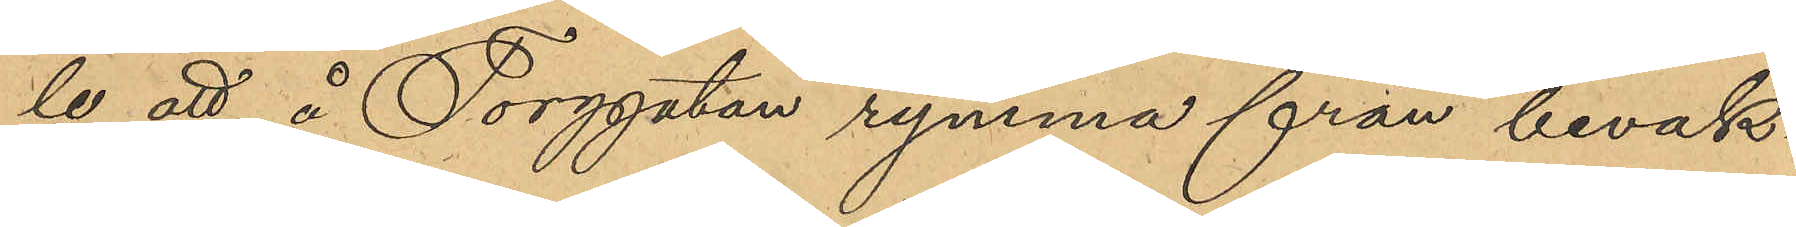le att å Torggatan rymma från bevak¬
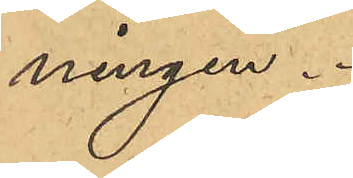ningen.
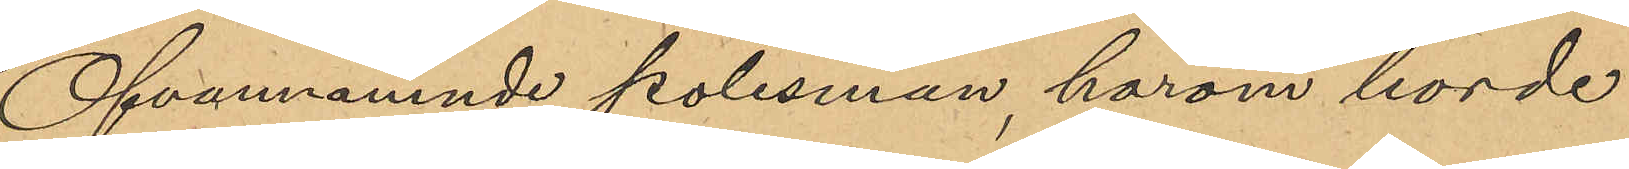Ofvannämnde polismän, härom hörde
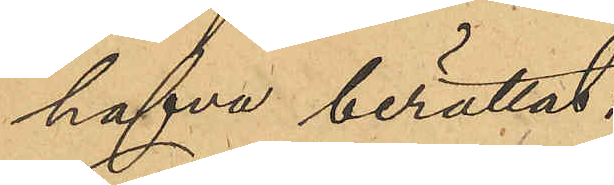hafva berättat;
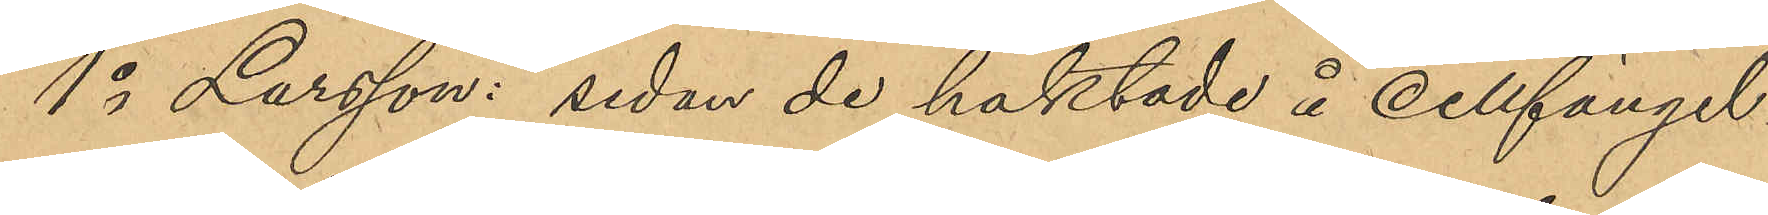1o Larsson: sedan de häktade å cellfängel¬
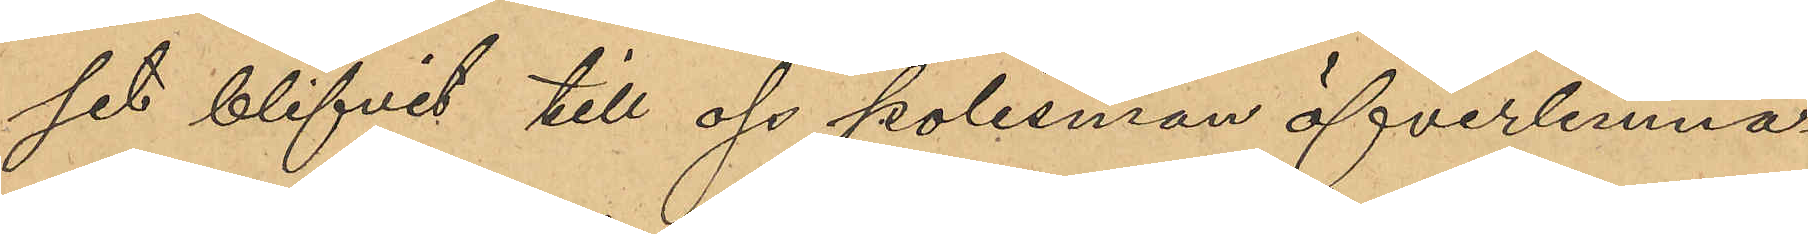set blifvit till oss polismän öfverlämna¬
